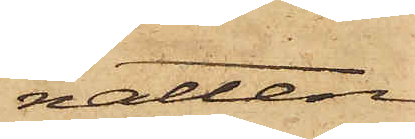natten
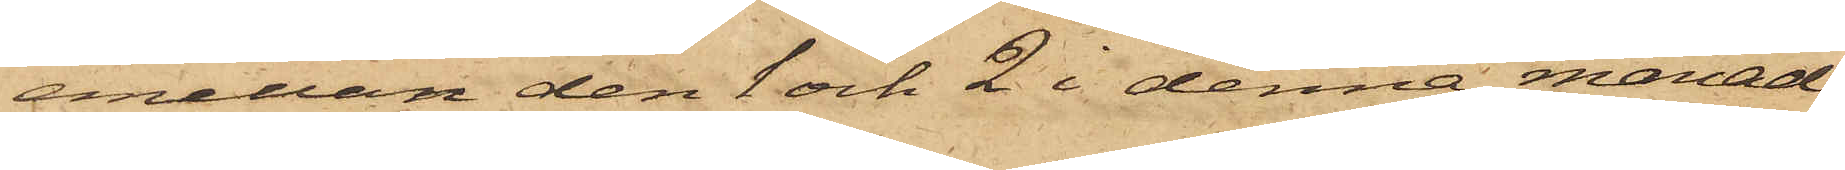emellan den 1 och 2 i denna månad
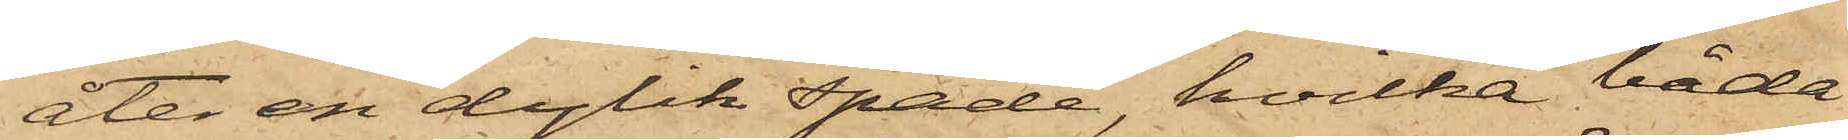åter en dylik spade, hvilka båda
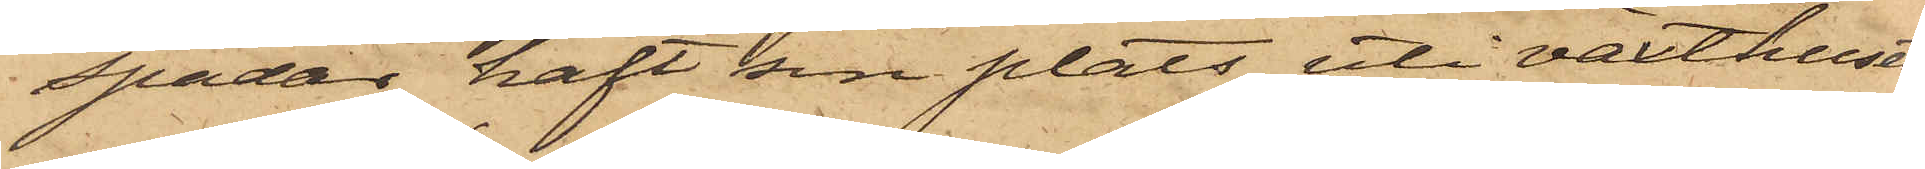spadar haft sin plats uti växthuset,
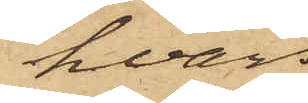hvars
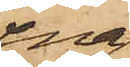ena
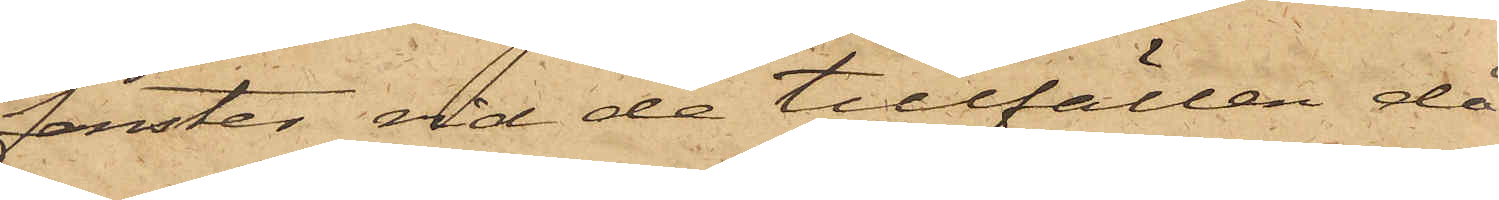fenster vid de tillfällen då
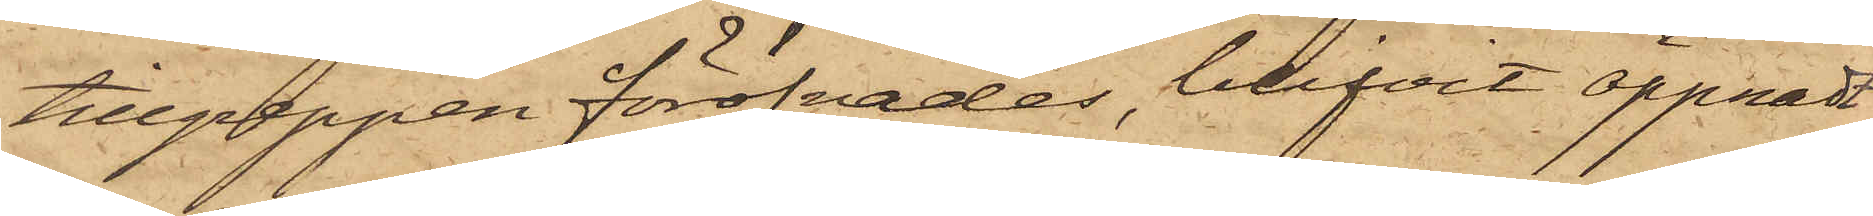tillgreppen föröfvades, blifvit öppnadt;
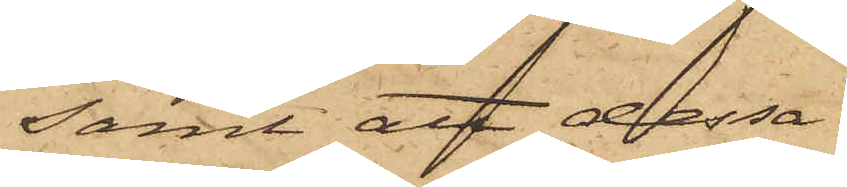samt att dessa
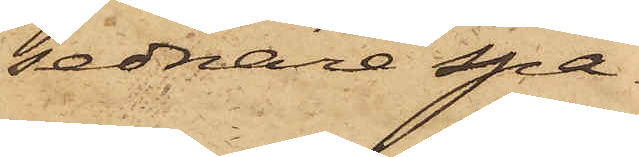sednare spa¬
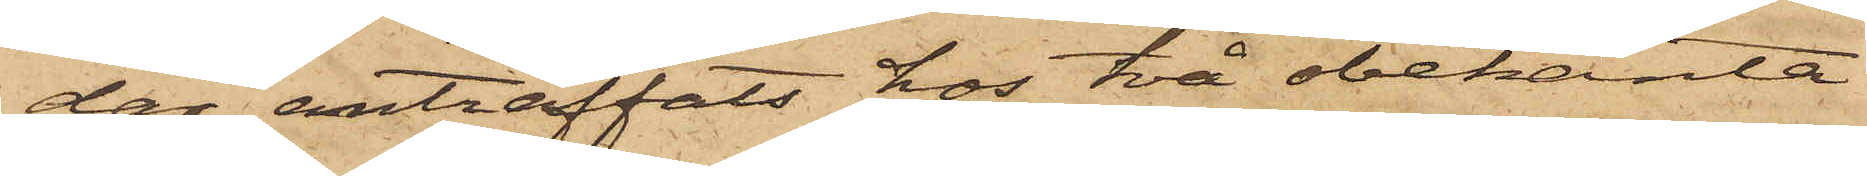dar anträffats hos två obekanta
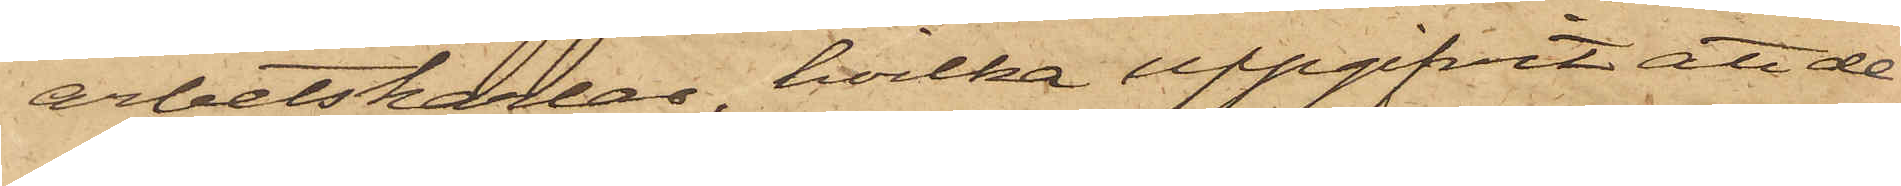arbetskarlar, hvilka uppgifvit, att de
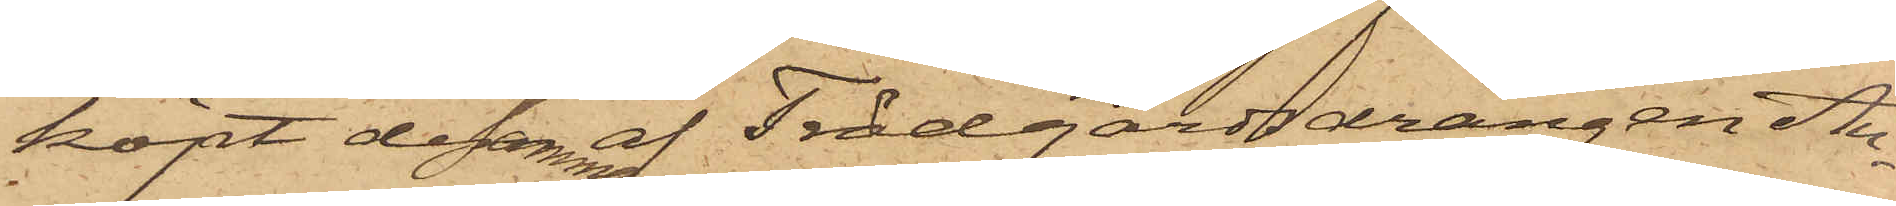köpt desamma af Trädgårdsdrängen Au¬
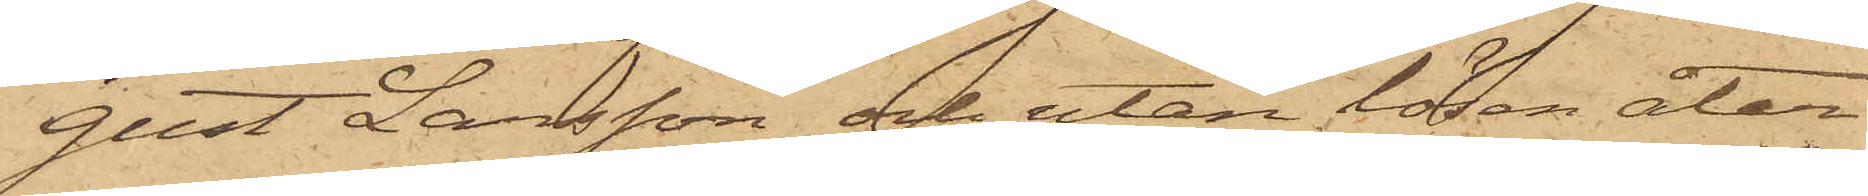gust Larsson och utan lösen åter¬
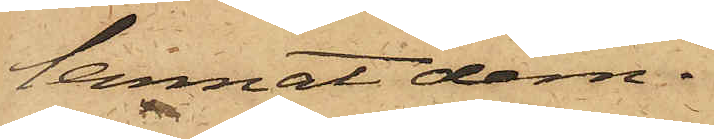lemnat dem.
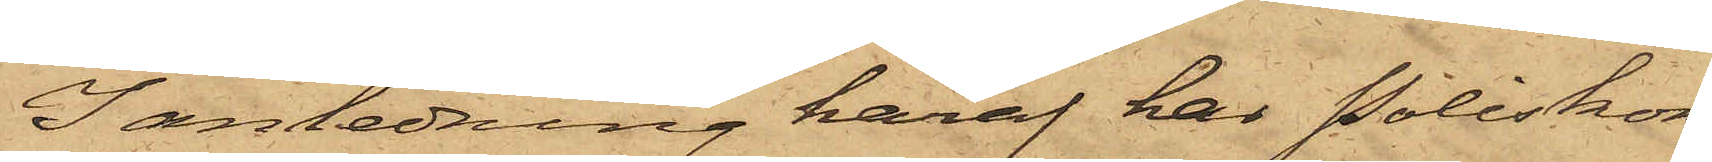I anledning häraf har Poliskon¬
